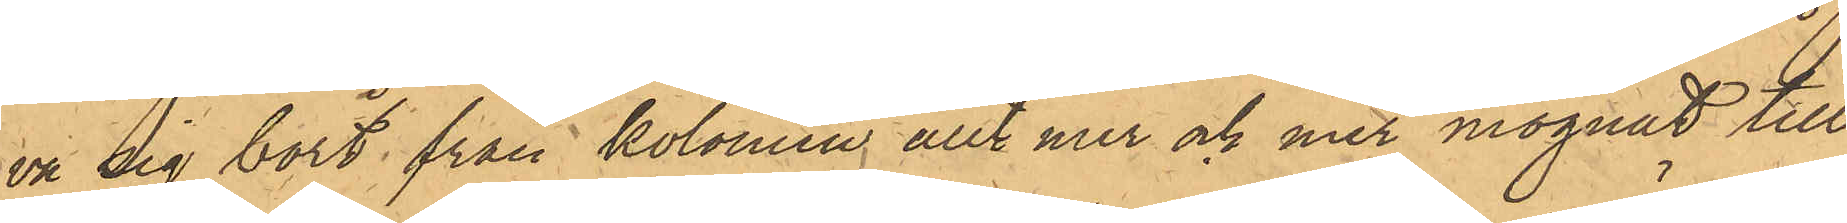va sig bort från kolonien, allt mer och mer mognat till
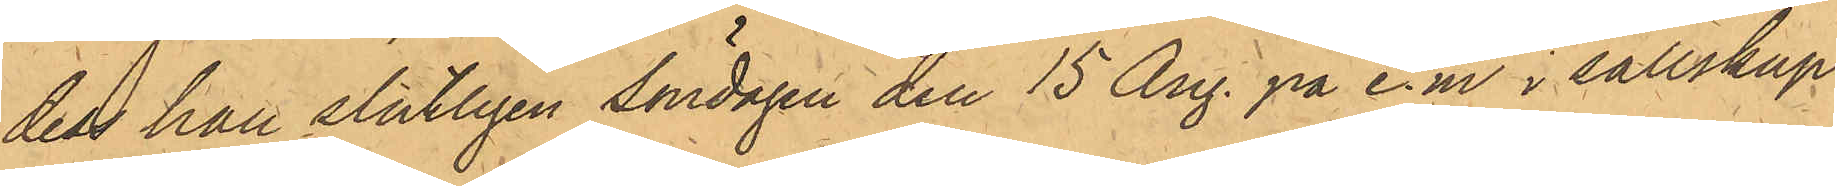dess han slutligen söndagen den 15 Aug. på e.m. i sällskap
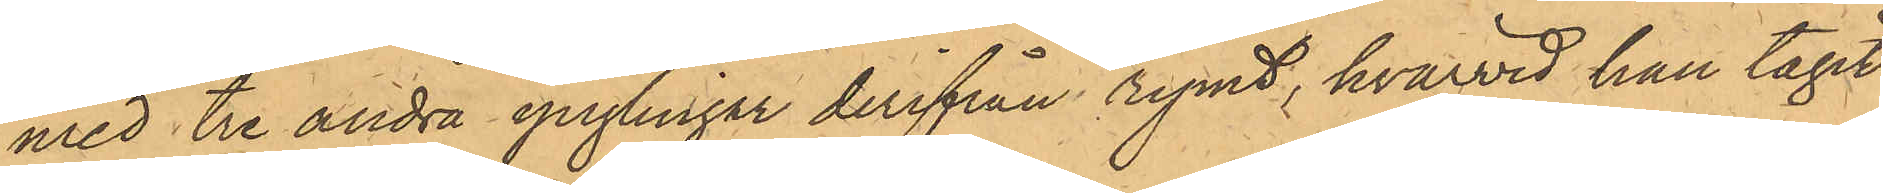med tre andra ynglingar derifrån rymt, hvarvid han tagit
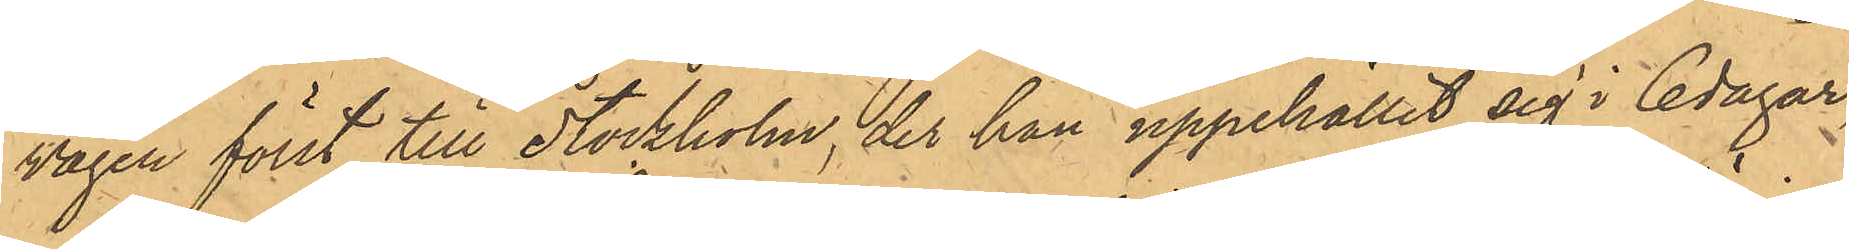vägen först till Stockholm, der han uppehållit sig i  6 dagar,
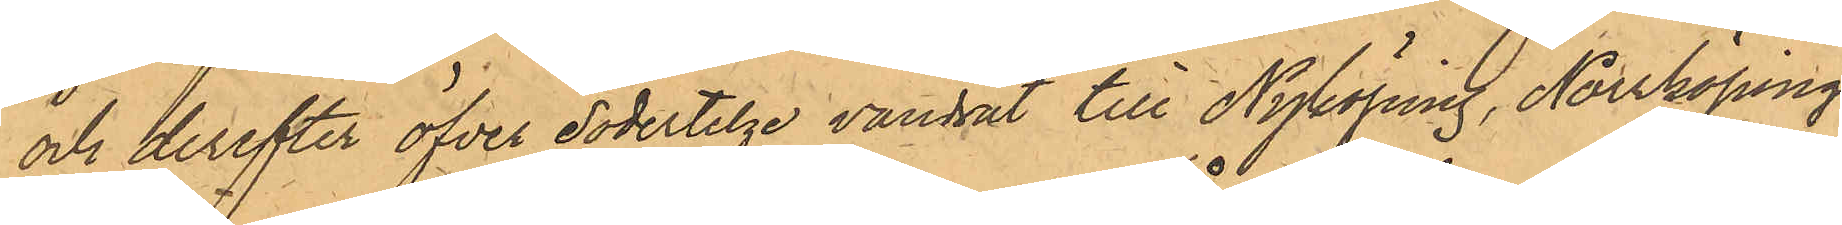och derefter öfver Södertelge vandrat till Nyköping, Norrköping,
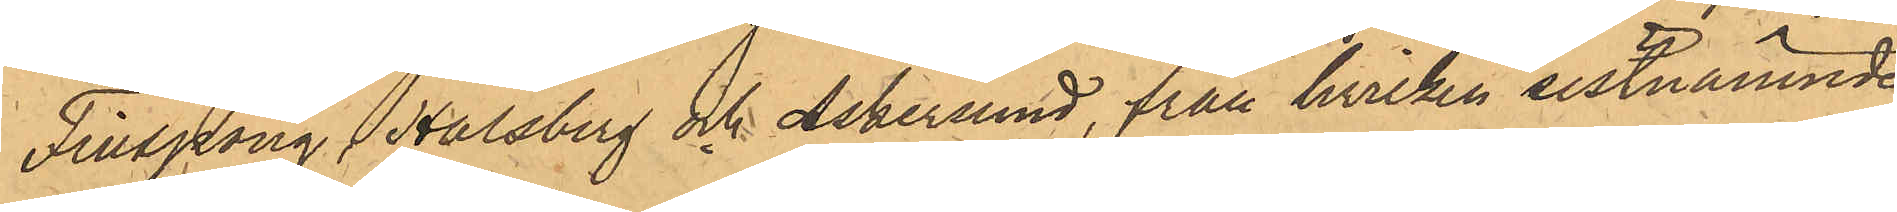Finspong, Halsberg och Askersund, från hvilken sistnämnde
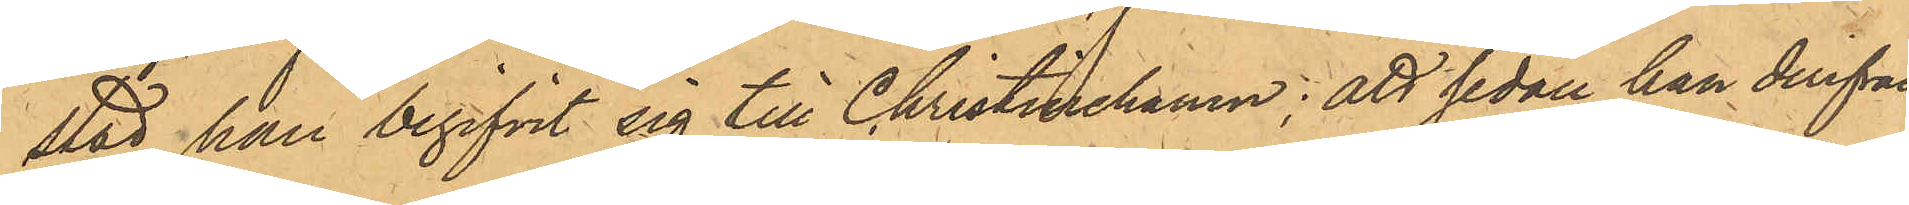stad han begifvit sig till Christinehamn; att sedan han derifrån
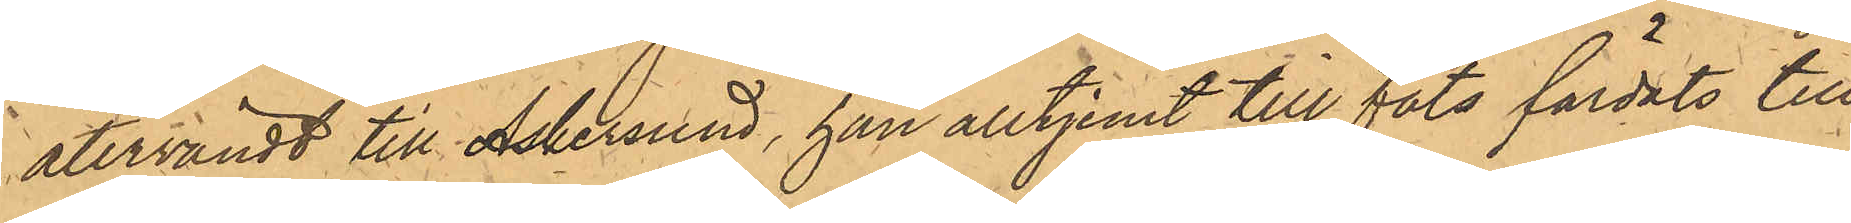återvändt till Askersund, han alltjemt till fots färdats till
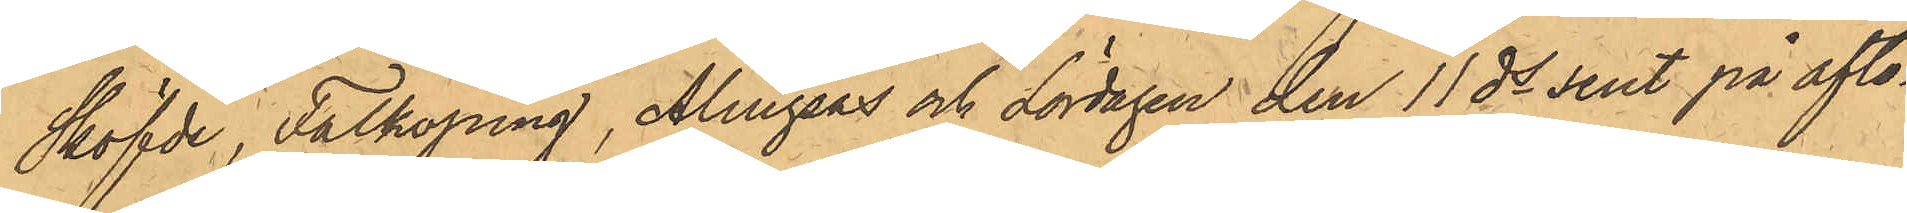Sköfde, Falköping, Alingsås och Lördagen den 11 ds sent på afto¬
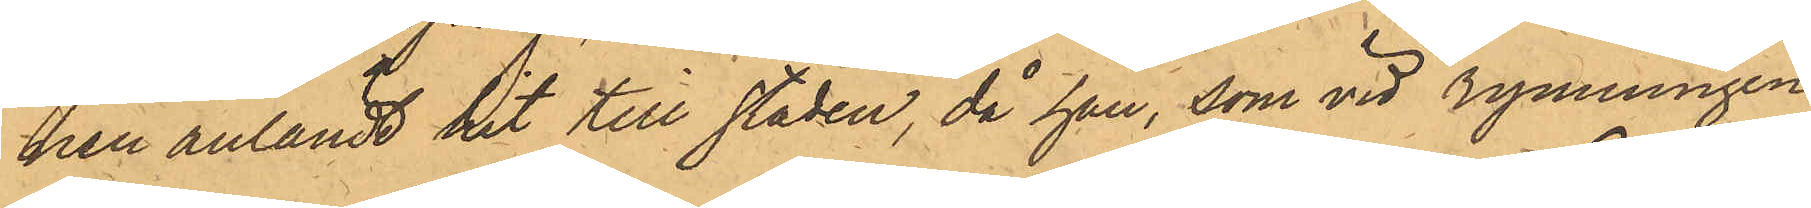nen anländt hit till staden, då han, som vid rymningen
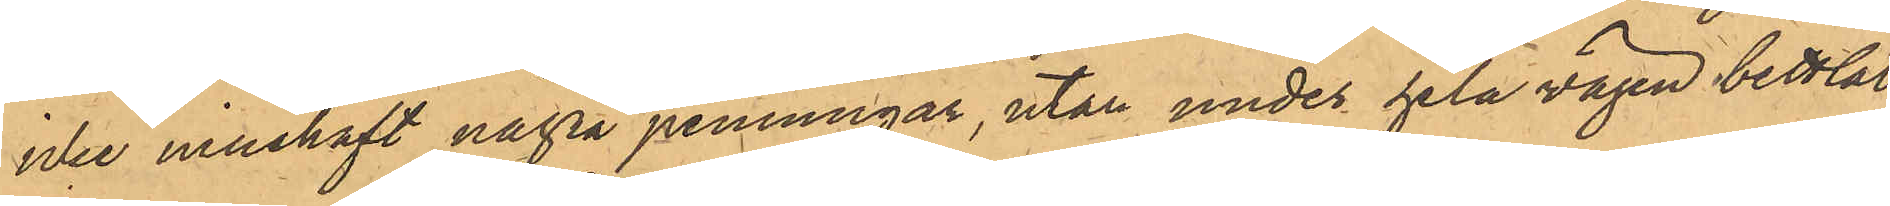icke innehaft några penningar, utan under hela vägen bettlat
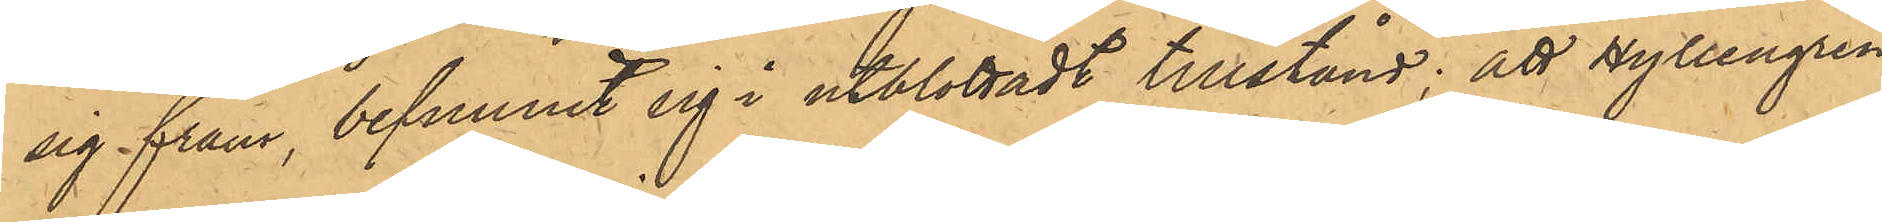sig fram, befunnit sig i utblottadt tillstånd; att Hyllengren
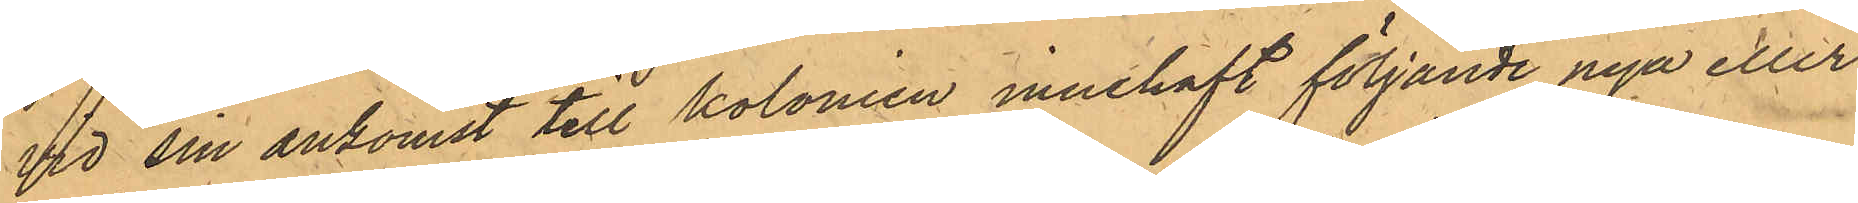vid sin ankomst till kolonien innehaft följande nya eller
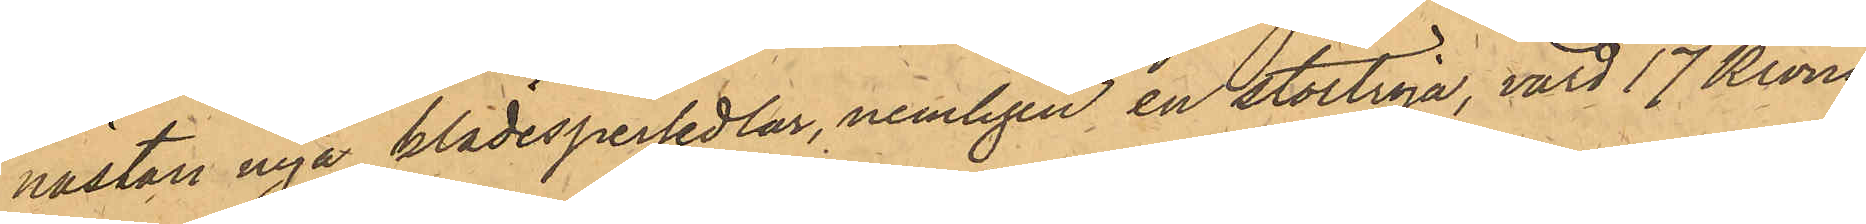nästan nya klädespersedlar, nemligen en stortröja, värd 17 Kronor
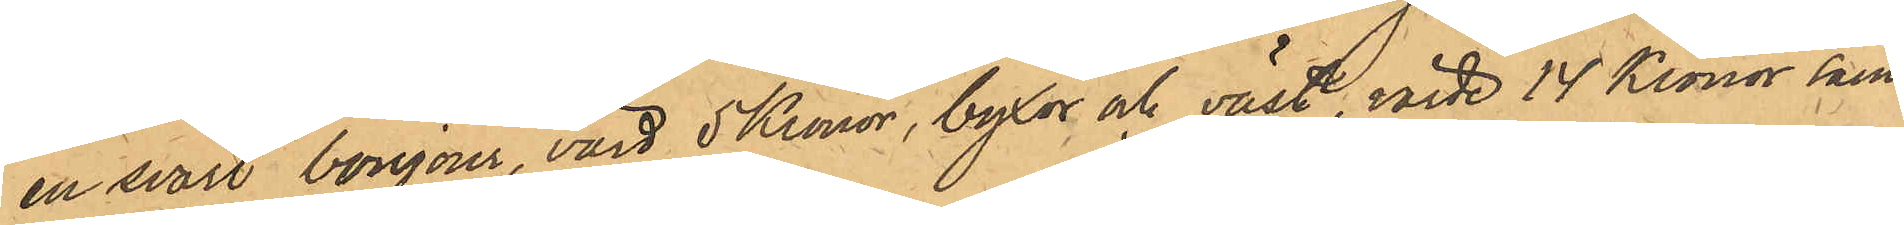en svart bonjour, värd 5 Kronor, byxor och väst, värde 14 Kronor samt
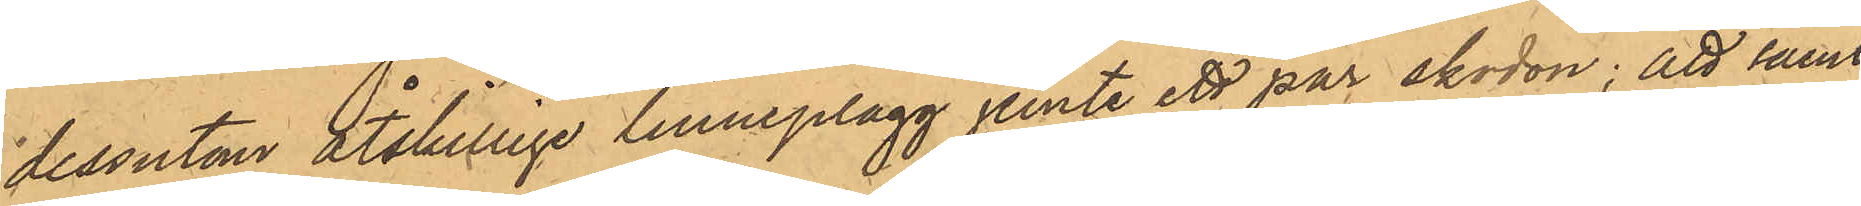dessutom åtskillige linneplagg jemte ett par skodon; att samt¬
